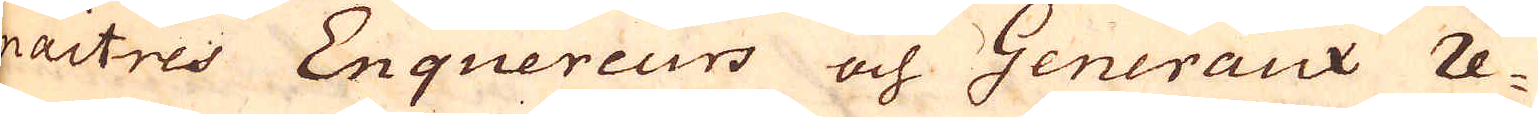maitres Enquereurs och Generaux re-
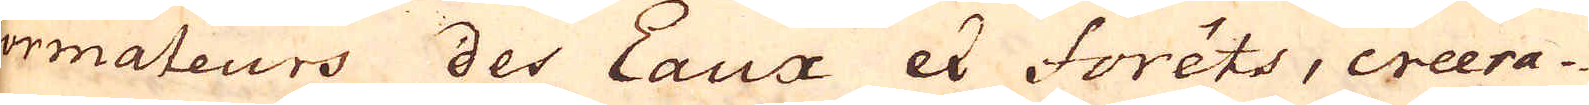formateurs des Eaux et Forêts, creera-
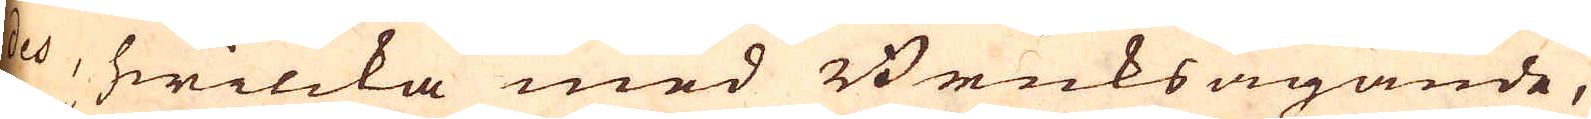des, hwilcka med Bruksägande,
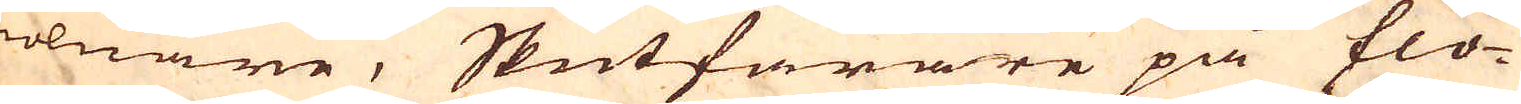mölnare, Skutfarare på flo-
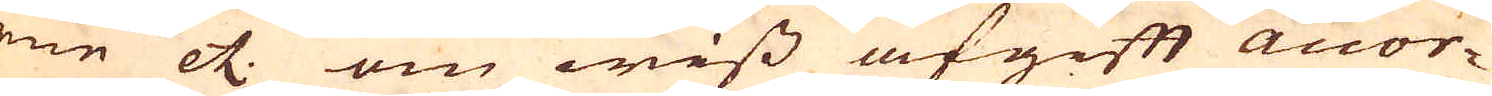derne etc. om wiss afgift accor-
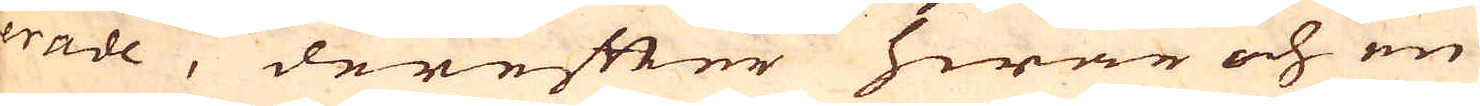derade, derefter hwar och en
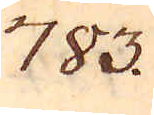783.
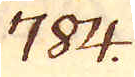784.
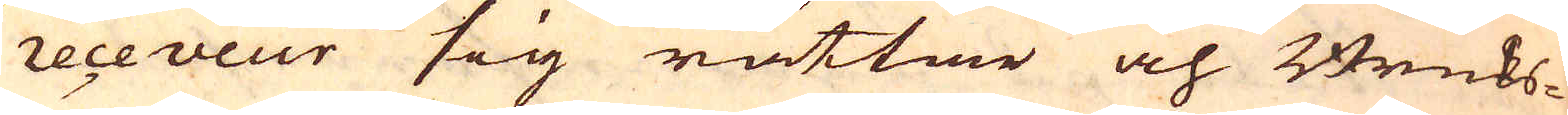receveur sig rättar och Bruks-
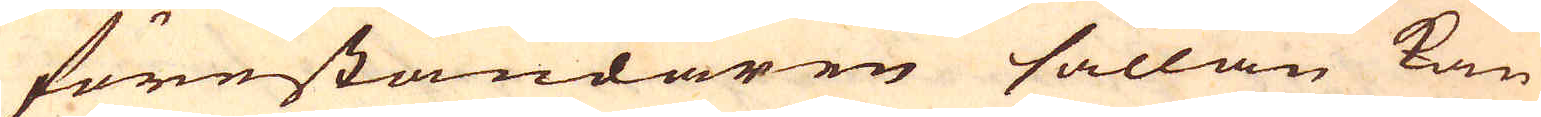föreståndaren sällan kan
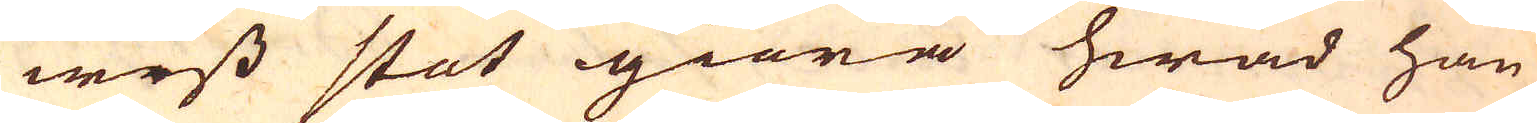wiss stat giöra hwad han
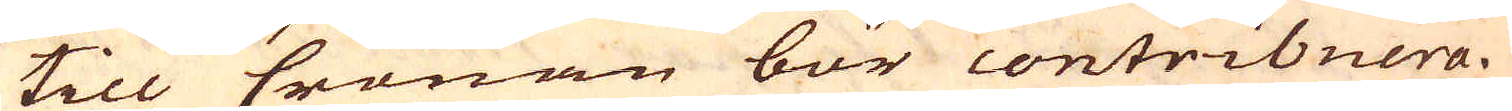till Cronan bör contribuera.
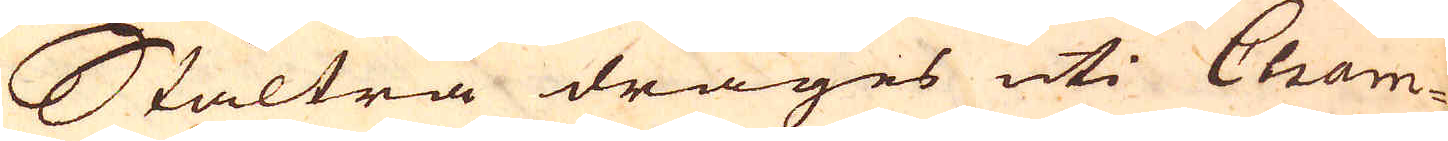Staltrå drages uti Cham-
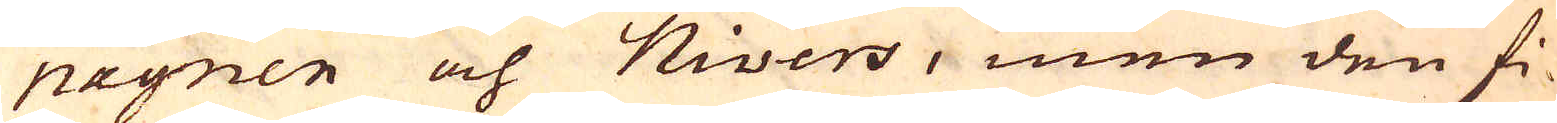pagnen och Nivers, men den fi-
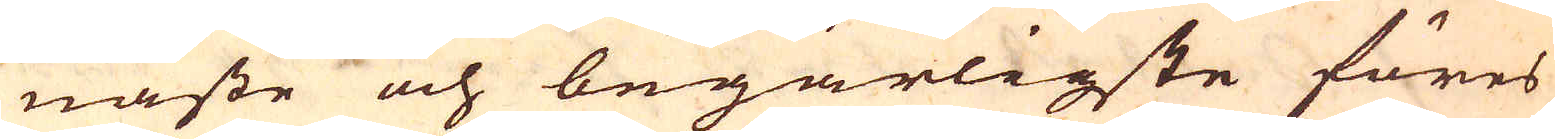naste och begärligste föres
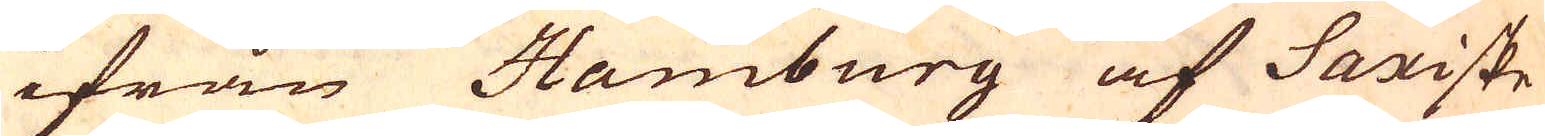ifrån Hamburg af Saxiske
